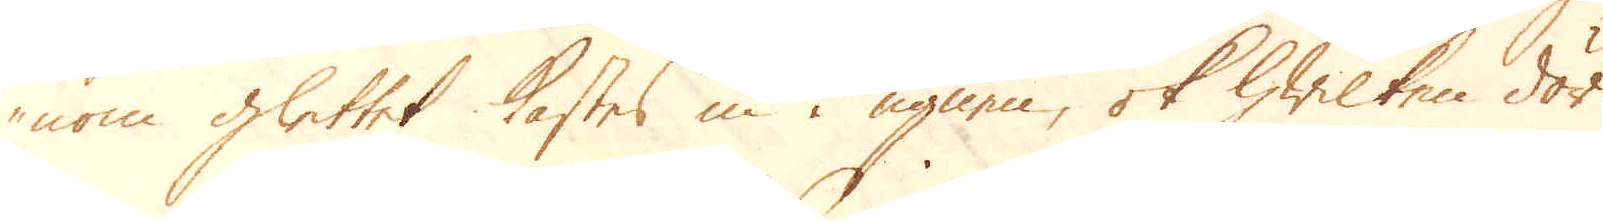nom glettet kastas in i ugnen, ok hwilken dör
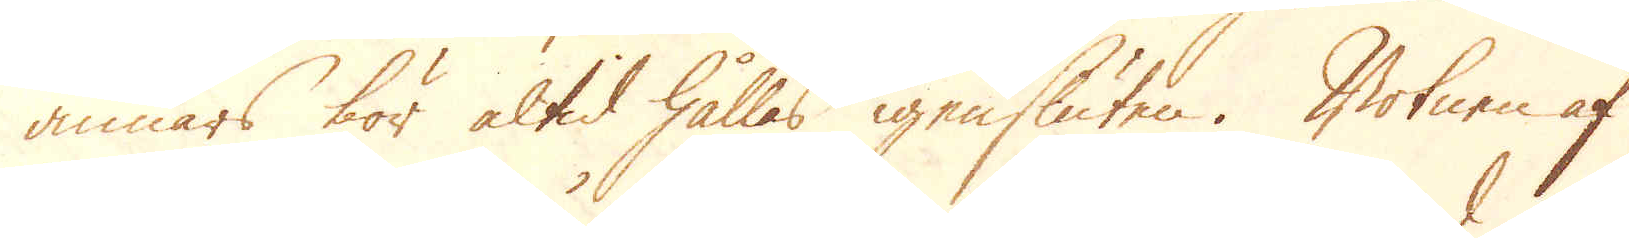annars bör altid hållas igensluten. Botnen af
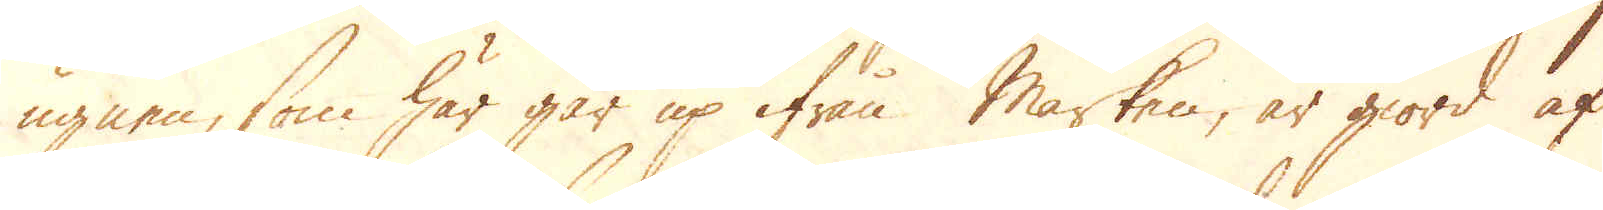ugnen, som här går up ifrån marken, är giord af
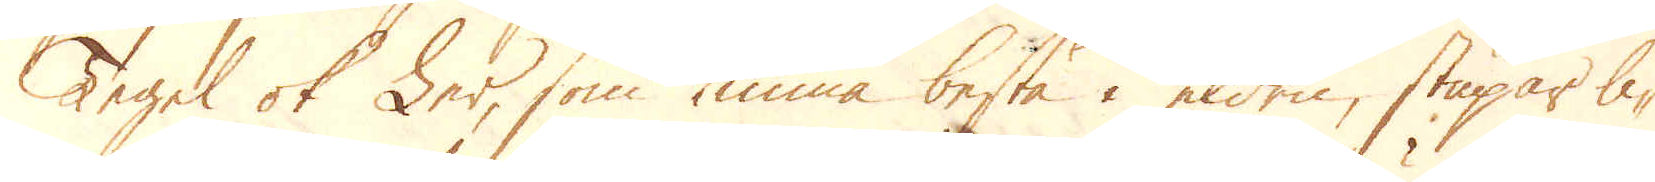Tegel ok Ler, som kunna bestå i elden, stupar li-
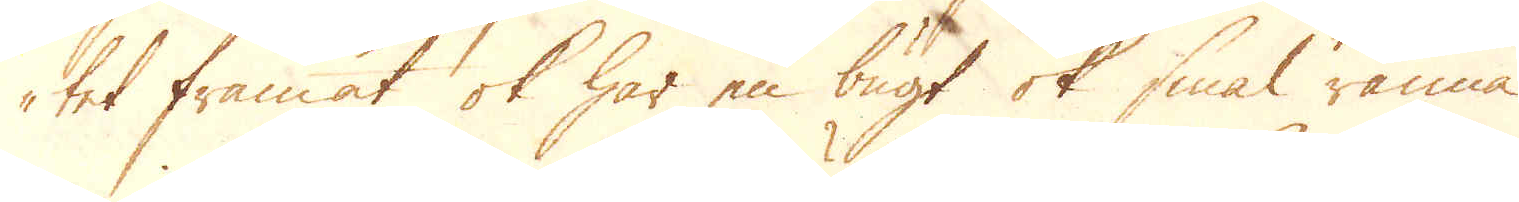tet framåt ok har en bugt ok smal ränna
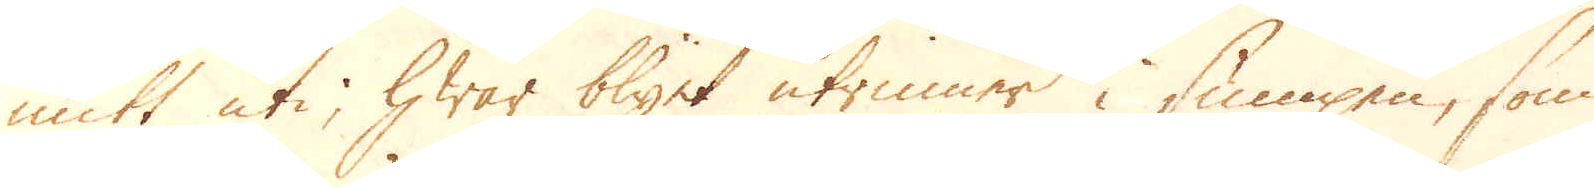mitt uti, hwar blyet i sumpen, som
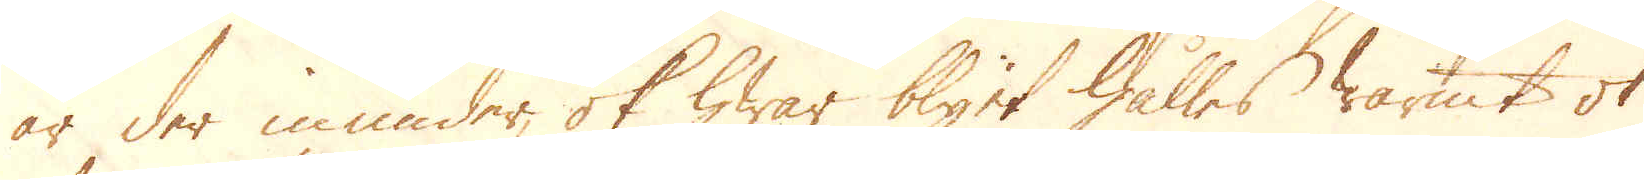är der inunder, ok hwar blyet hålles warmt ok
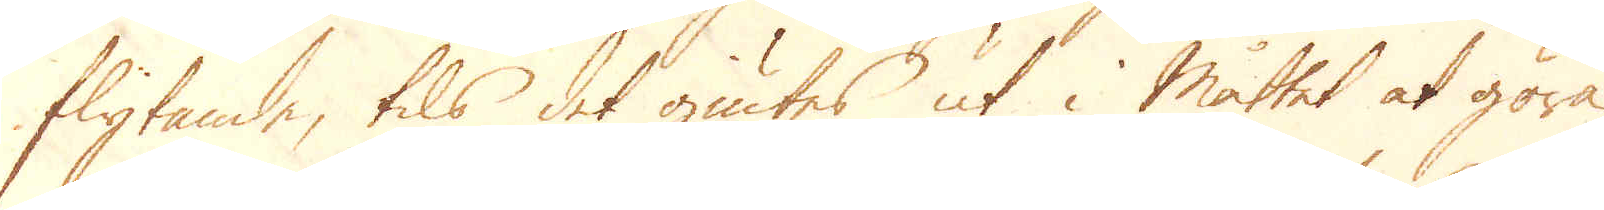flytande, tils det giutes ut i måttet at göra
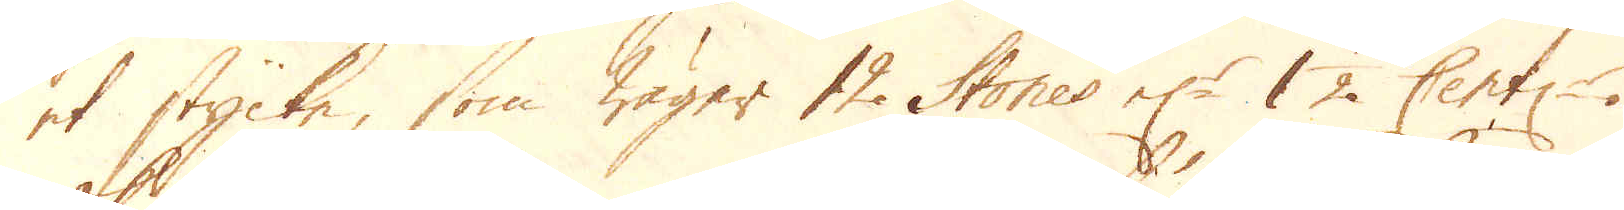et stycke, som wäger 12 Stones el:r 1 1/2 Cent:r
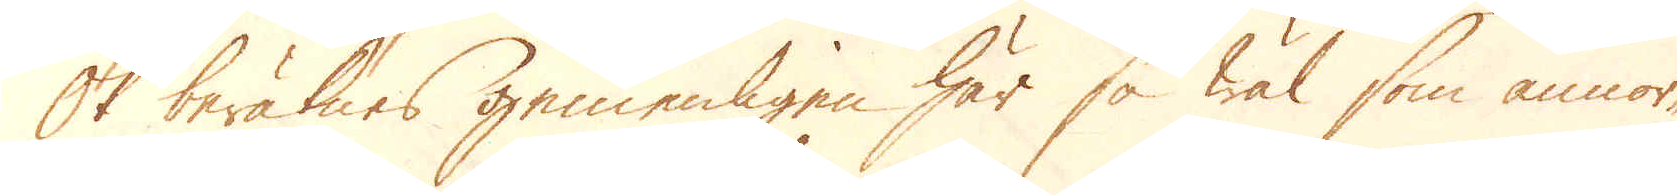Ok beräknes gemenligen här så wäl som annor-
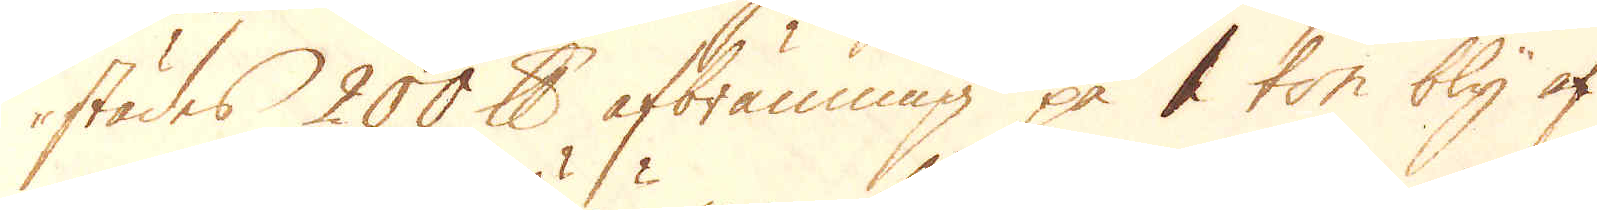städes 200 pund afbränning på 1 ton bly af
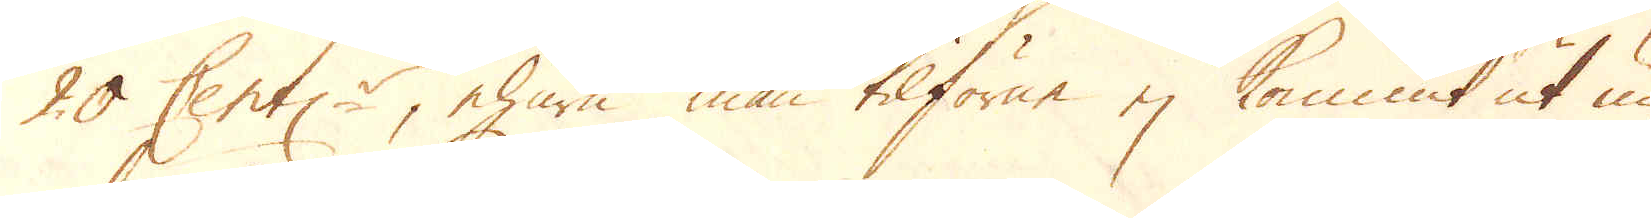20 Cent:r, ehuru man tilförene ej kommit ut un-
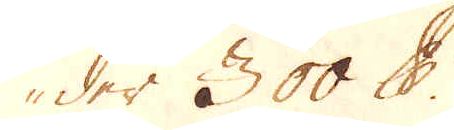der 300 pund.
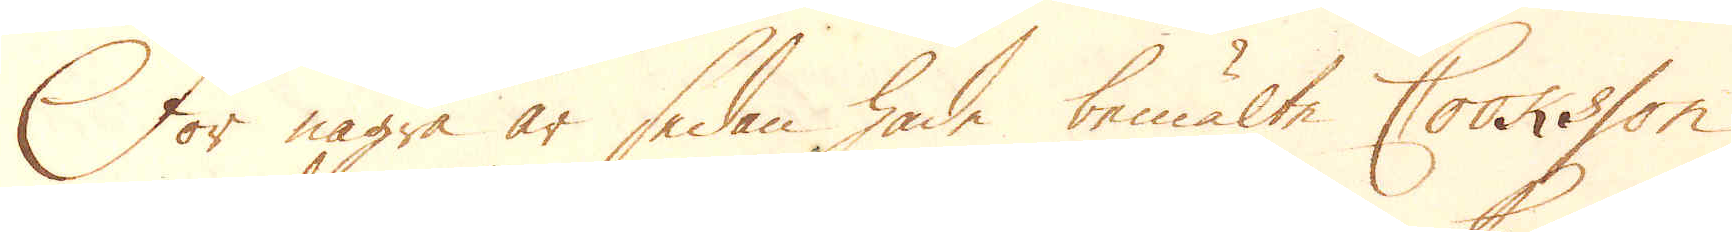För några år sedan hade bemälte Cooksson
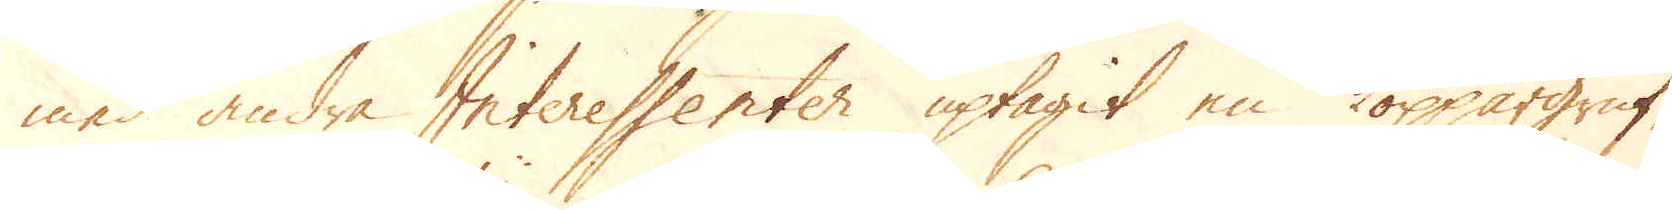med andra Interessenter uptagit en koppargruf-
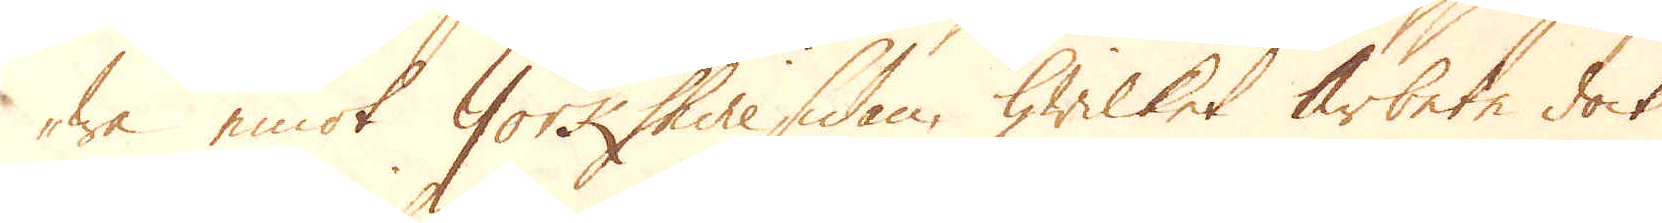wa emot Yorkshire sidan, hwilket arbete dock
